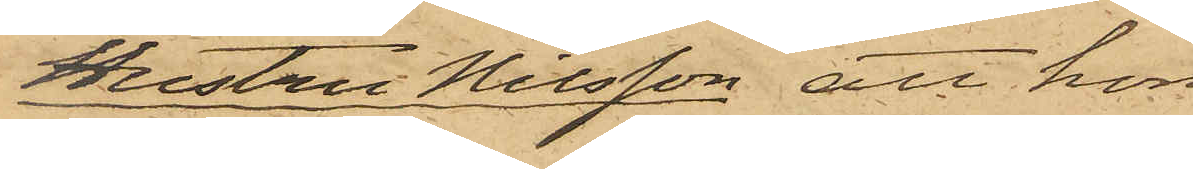Hustru Nilsson, att hon
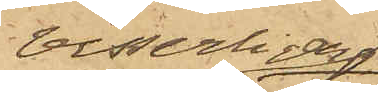visserligen
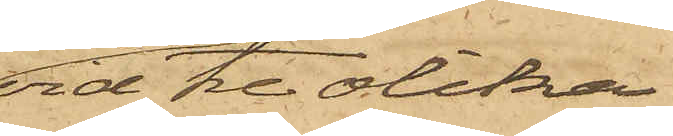vid tre olika
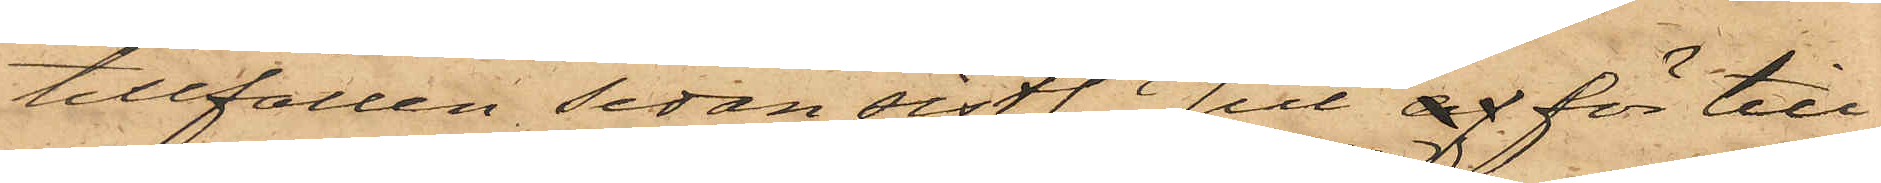tillfällen sedan sistl. Jul af för till¬
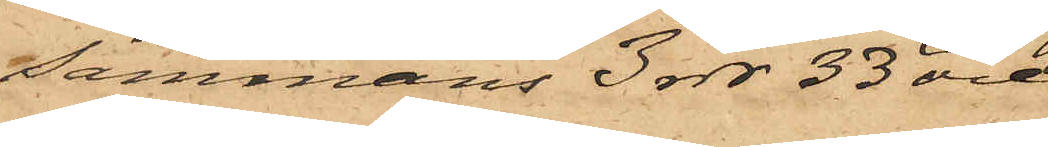sammans 3 rdr 33 öre
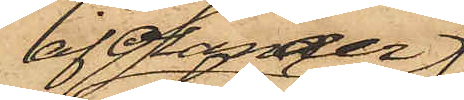af Olander
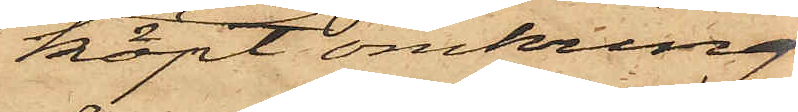köpt omkring
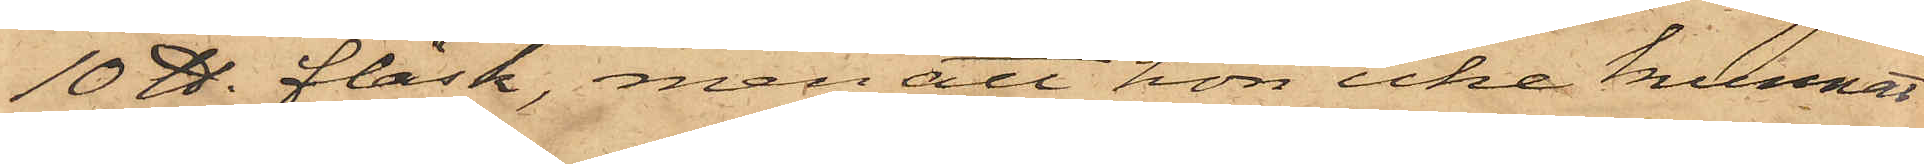10 ℔ fläsk, men att hon icke kunnat
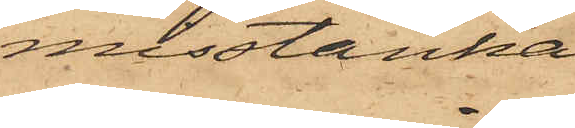misstänka
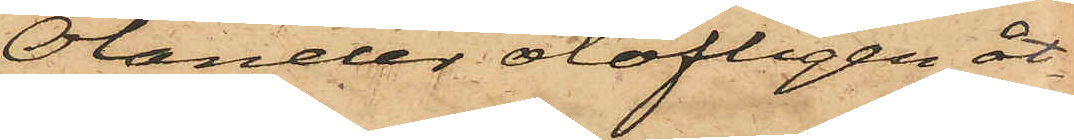Olander olofligen åt¬
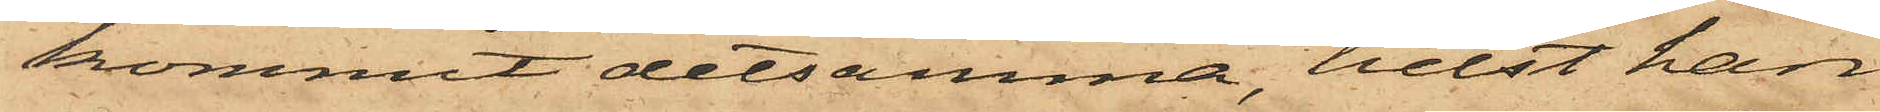kommit detsamma, helst han
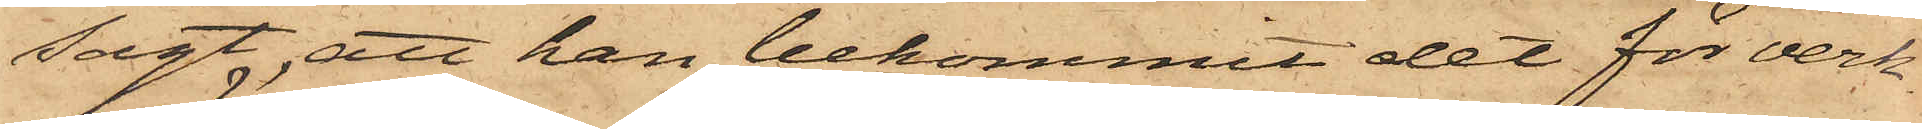sagt, att han bekommit det för verk¬
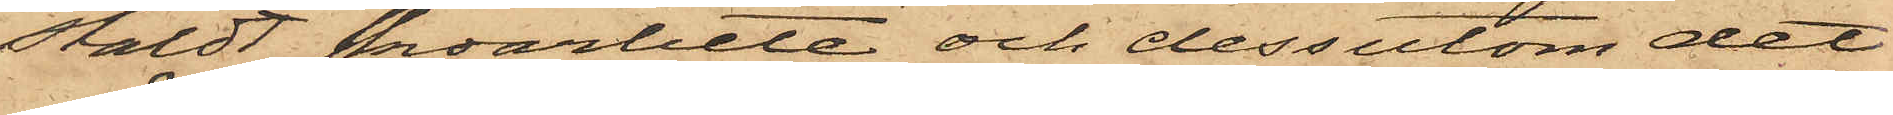stäldt skoarbete och dessutom det
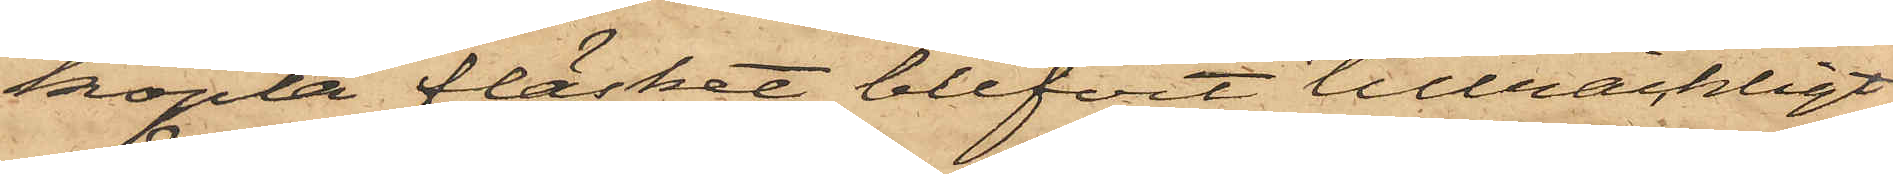köpta fläsket blifvit tillräckligt
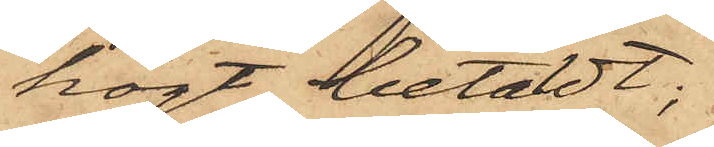högt betaldt;
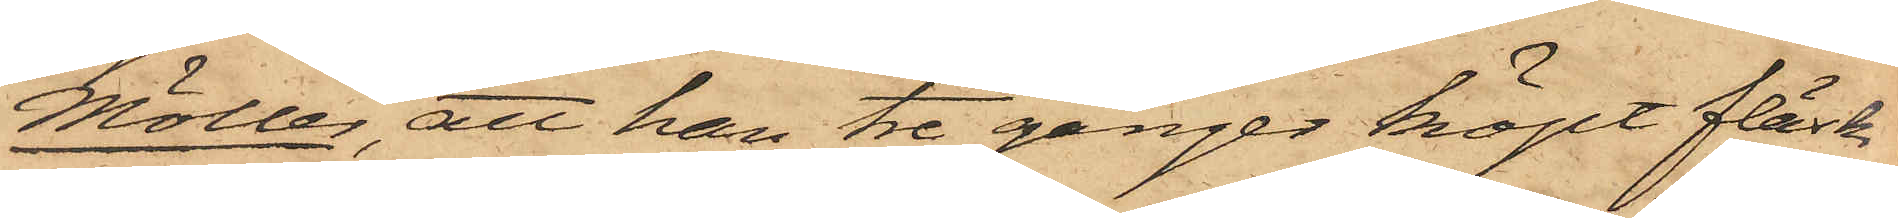Möller, att han tre gånger köpt fläsk
